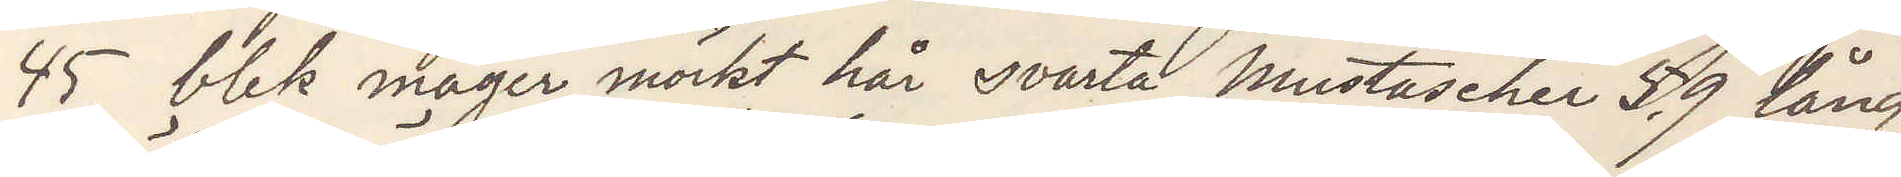45, blek mager mörkt hår svarta mustascher 5,9 lång
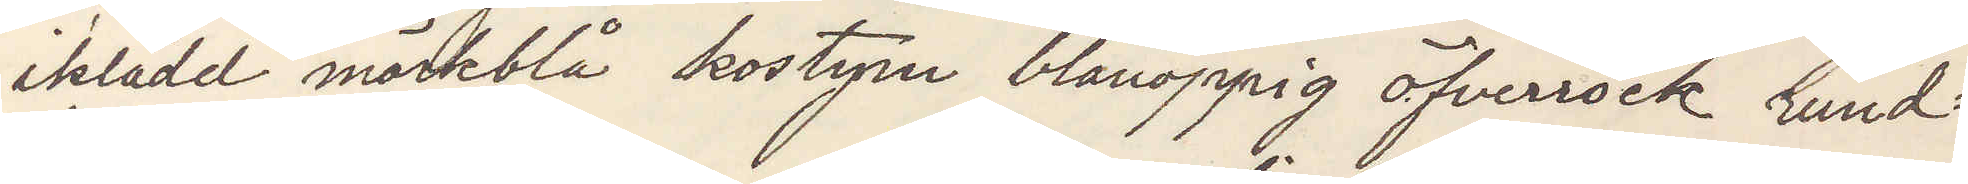iklädd mörkblå kostym blånoppig öfverrock rund¬
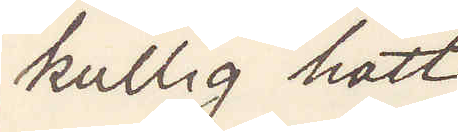kullig hatt
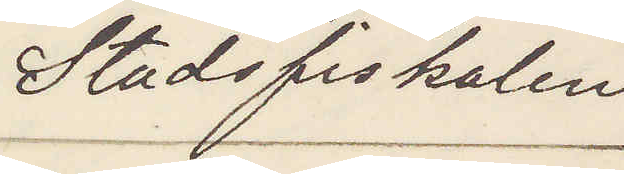Stadsfiskalen
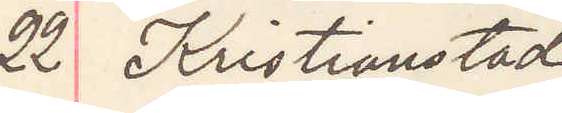22 Kristianstad 
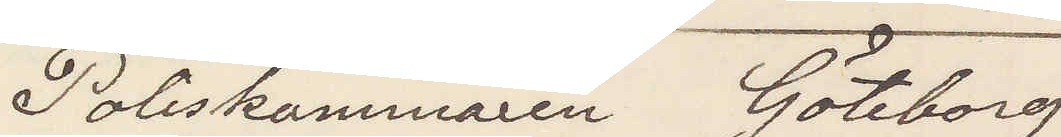Poliskammaren Göteborg
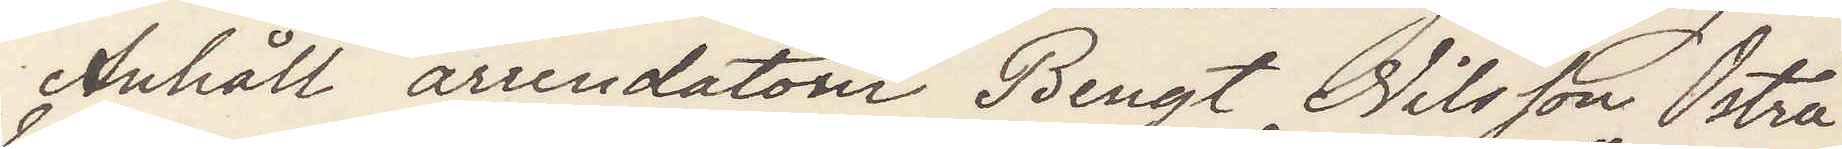Anhåll arrendatorn Bengt Nilsson Ostra
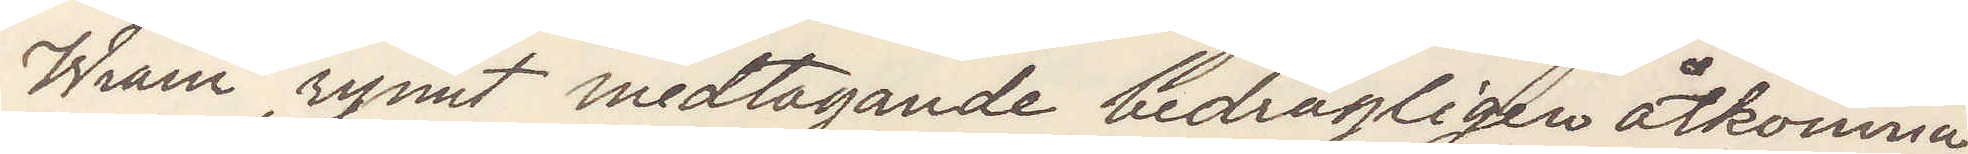Wram rymt medtagande bedrägligen åtkomna
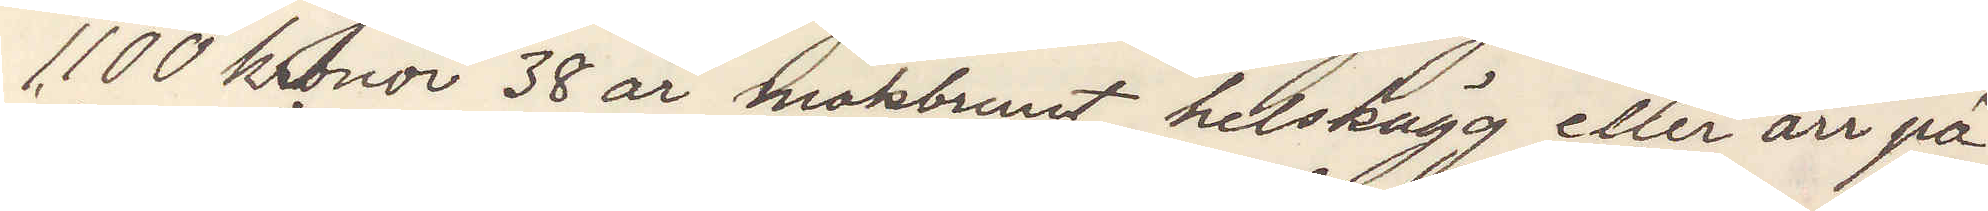1.100 kronor 38 år mörkbrunt helskägg eller ärr på
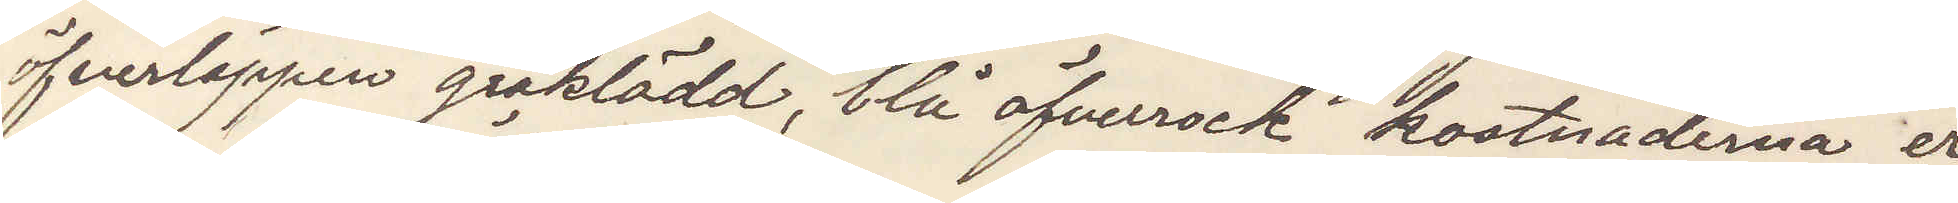öfverläppen gråklädd, blå öfverrock kostnaderna er¬
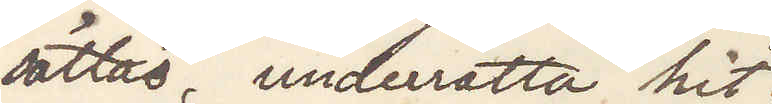sättas, underrätta hit.
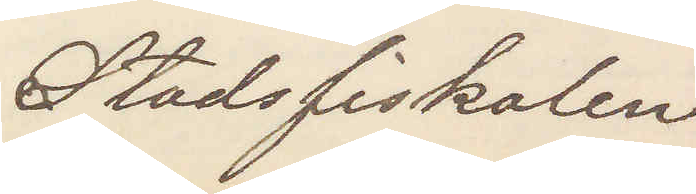Stadsfiskalen
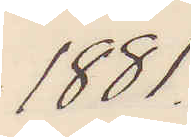1881
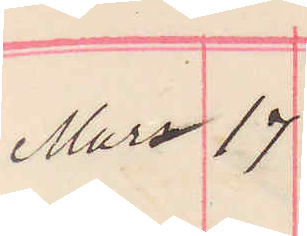Mars 17
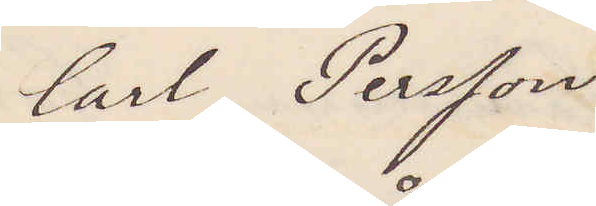Carl Persson
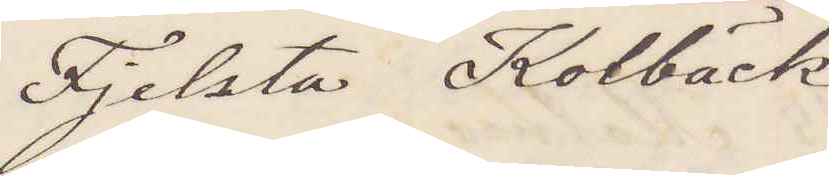Fjelsta Kolbäck
